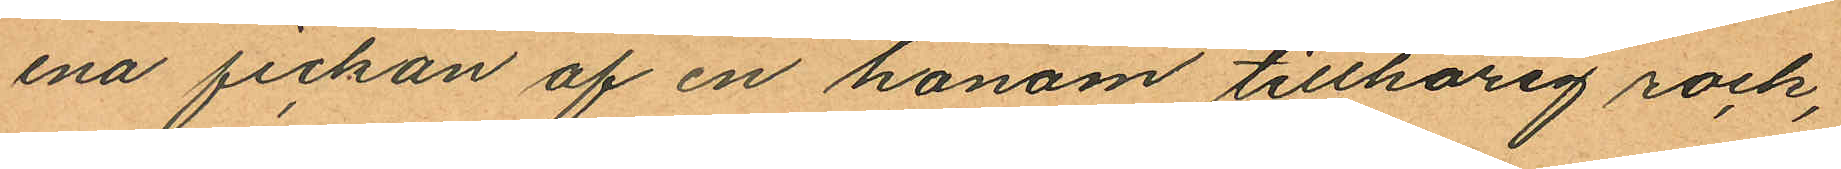ena fickan af en honom tillhörig rock,
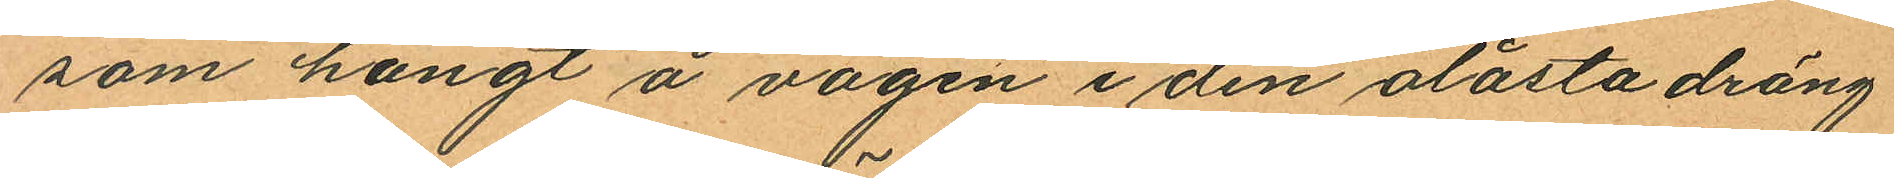som hängt å vägen i den olåsta dräng
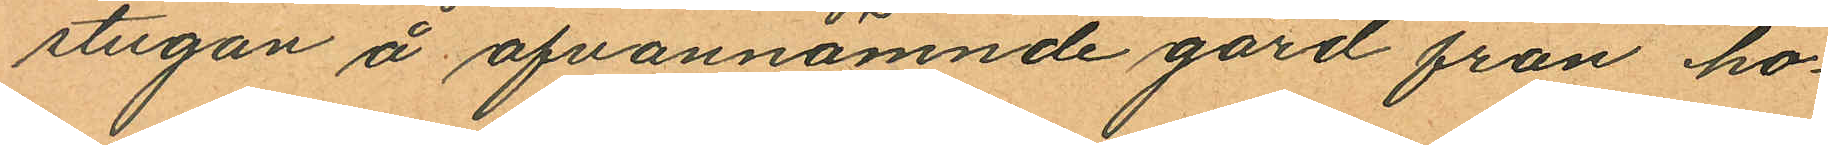stugan å ofvannämnde gård från ho¬
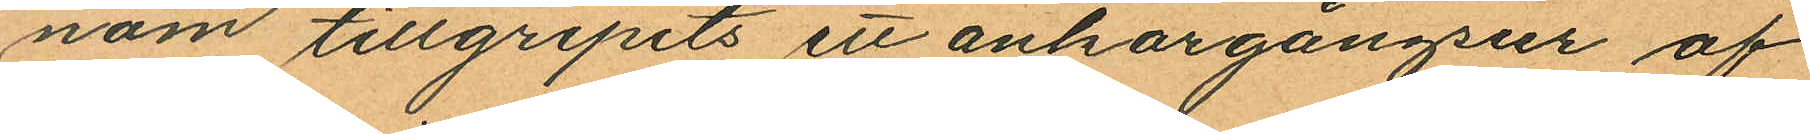nom tillgripits ett ankargångsur af
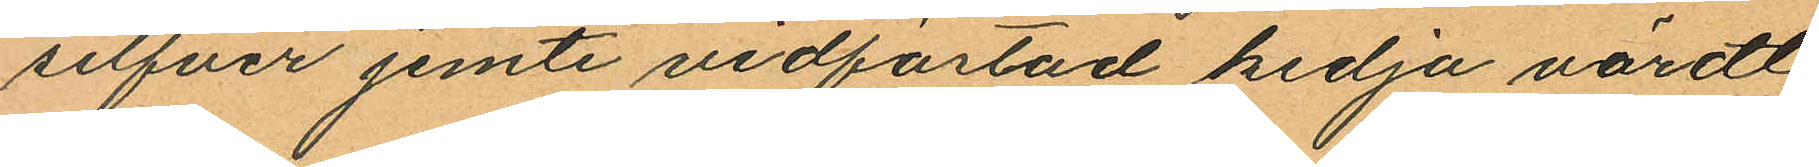silfver jemte vidfästad kedja värdt
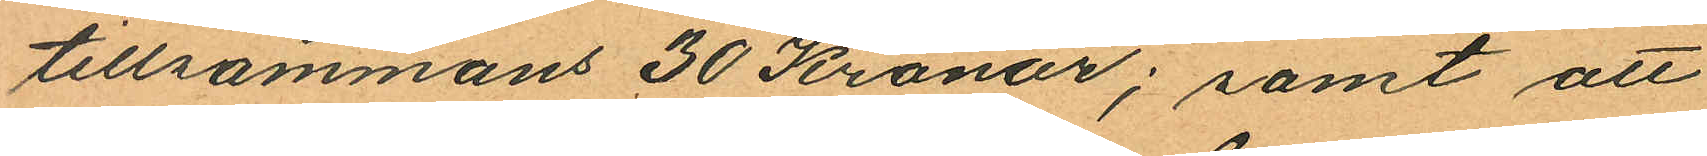tillsammans 30 Kronor; samt att
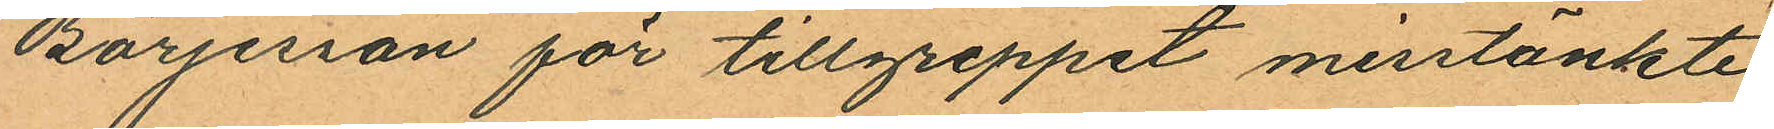Börjesson för tillgreppet misstänkte
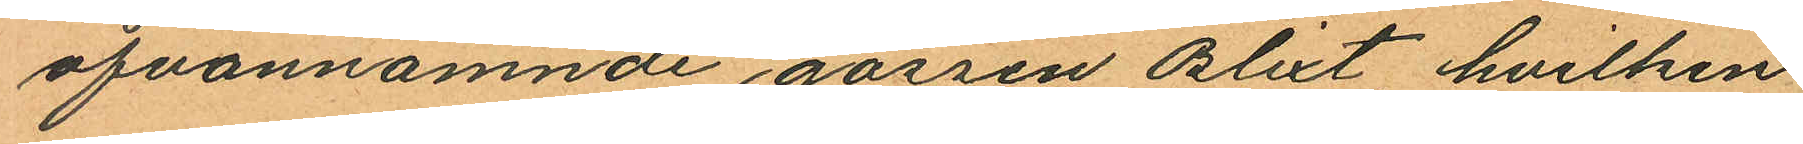ofvannämnde gossen Blixt hvilken
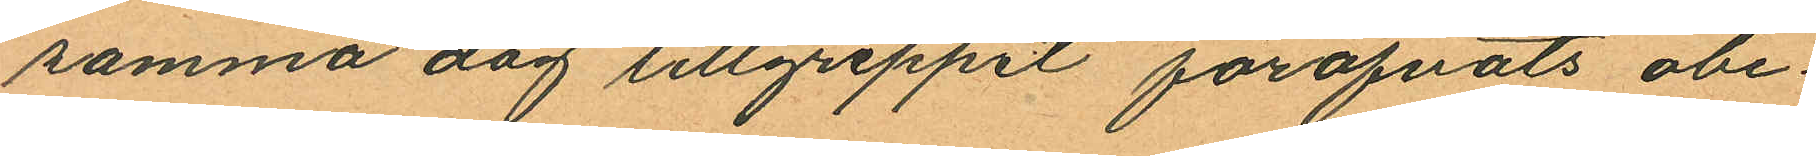samma dag tillgreppet föröfvats obe¬
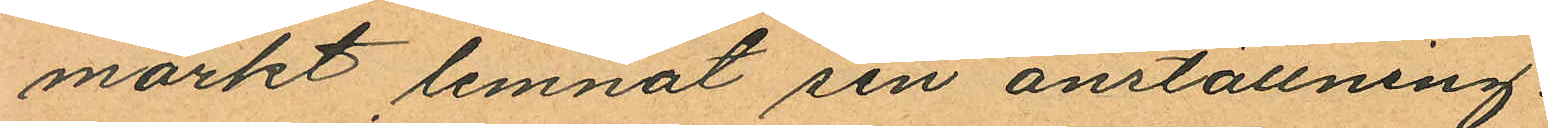märkt lemnat sin anställning.
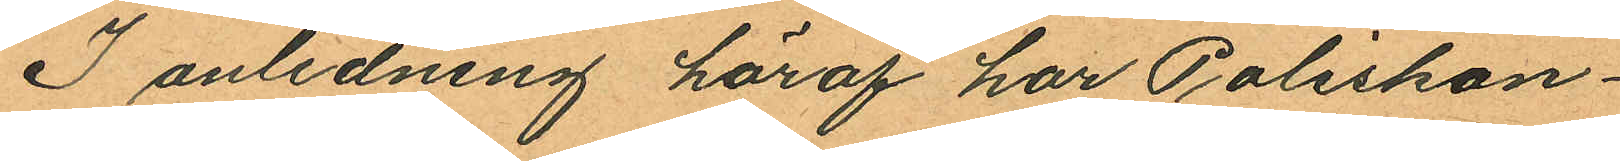I anledning häraf har Poliskon¬
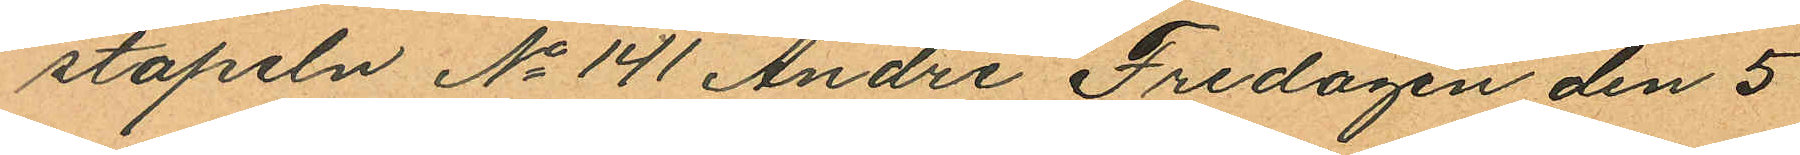stapeln No 141 André Fredagen den 5
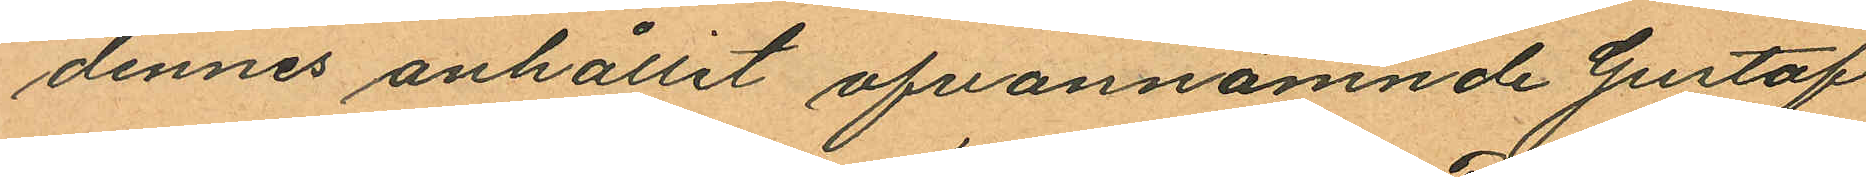dennes anhållit ofvannämnde Gustaf
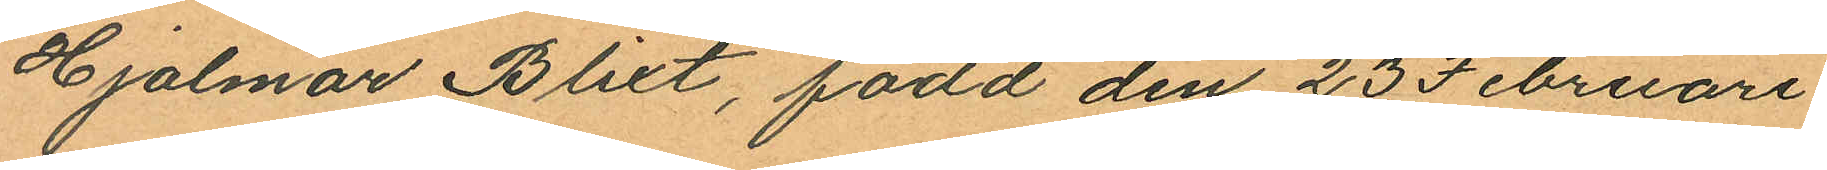Hjalmar Blixt, född den 23 Februari
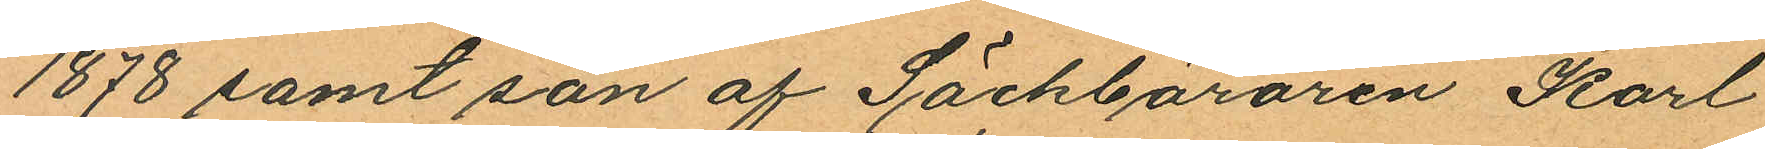1878 samt son af Säckbäraren Karl
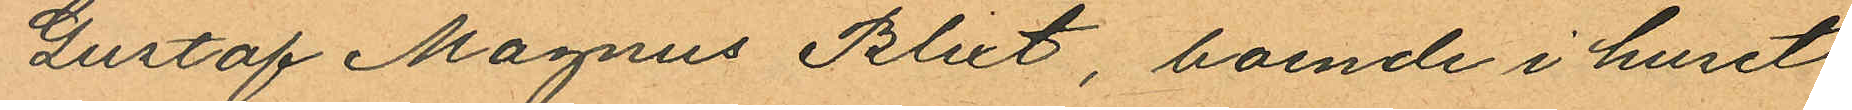Gustaf Magnus Blixt, boende i huset
